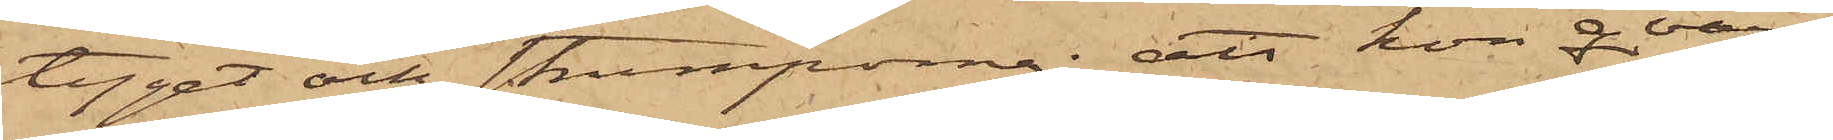tyget och strumporna; att hon qvar¬
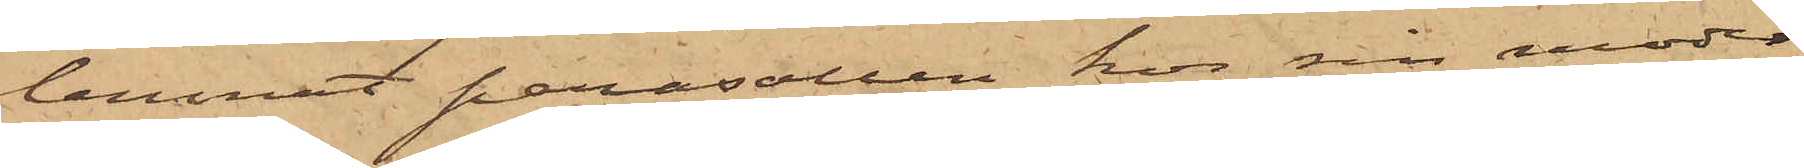lemnat parasollen hos sin moder
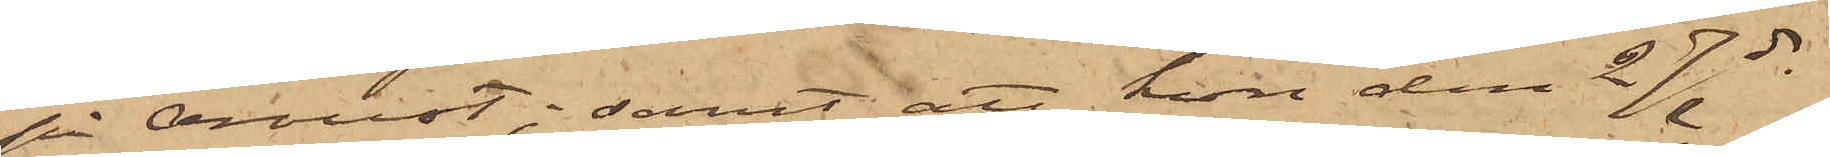på Oroust; samt att hon den 27 ds
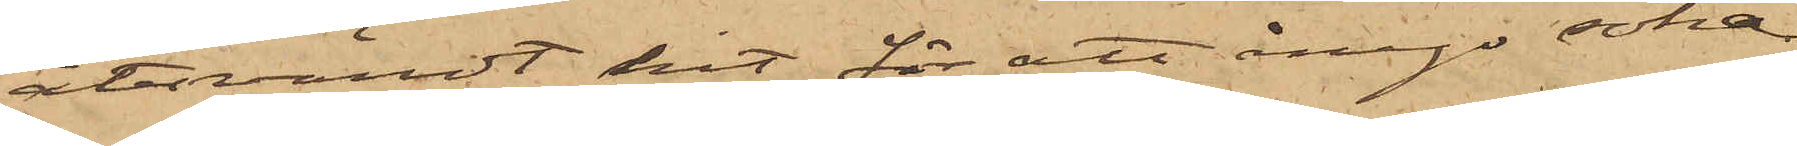återvändt hit för att ånyo söka
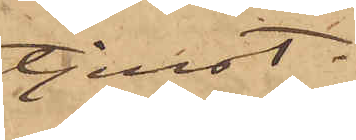tjenst.
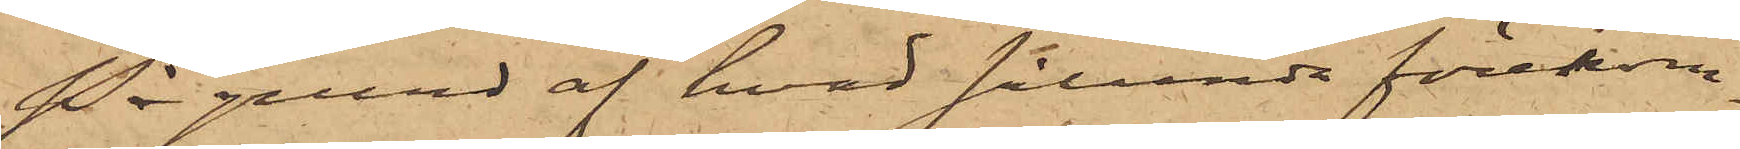På grund af hvad sålunda förekom¬
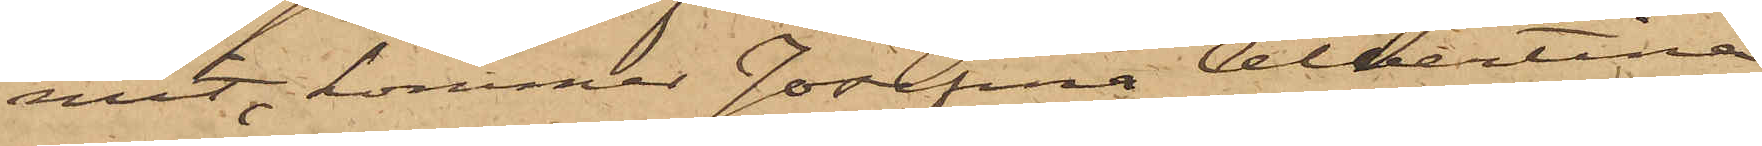mit, kommer Josefina Albertina
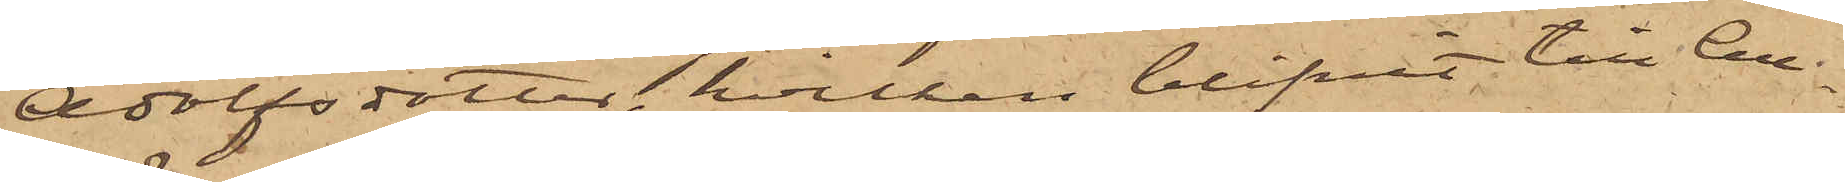Adolfsdotter, hvilken blifvit till Cell¬
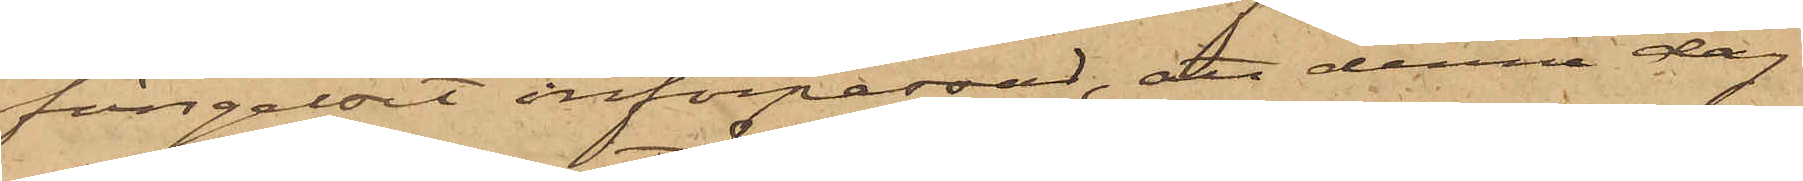fängelset införpassad, att denna dag
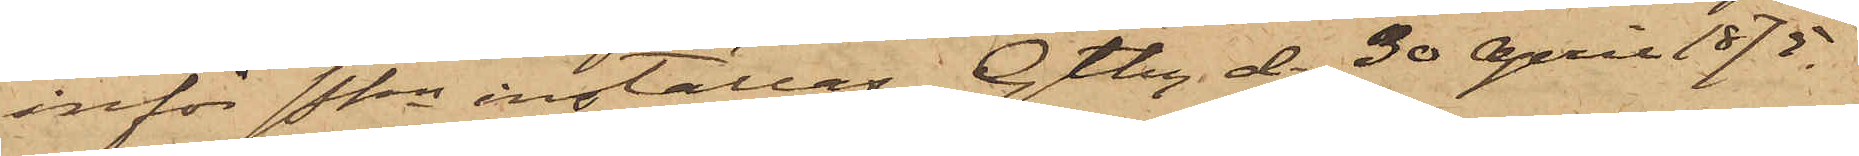inför Pkn inställas. Gtbg d. 30 April 1875.
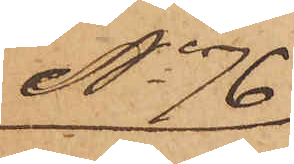No 76
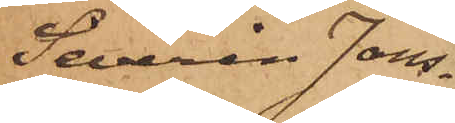Severin Jons¬
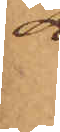son
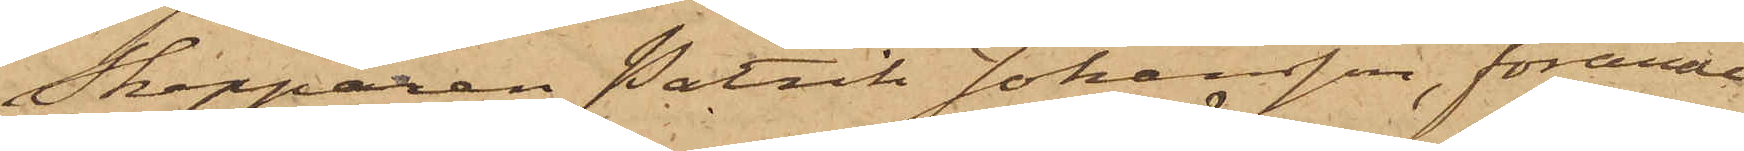Skepparen Patrik Johansson, förande
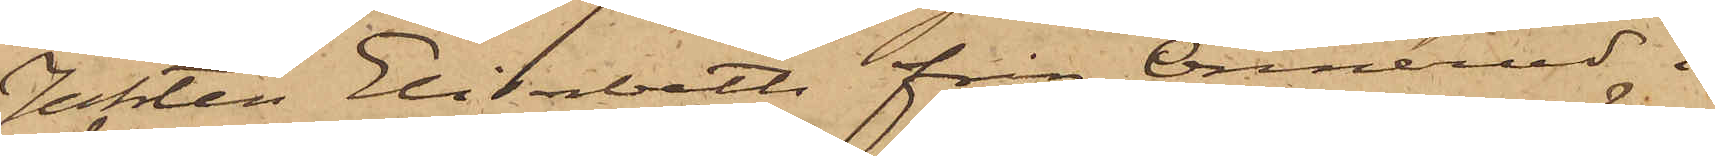Jakten Elisabeth från Önnerud i
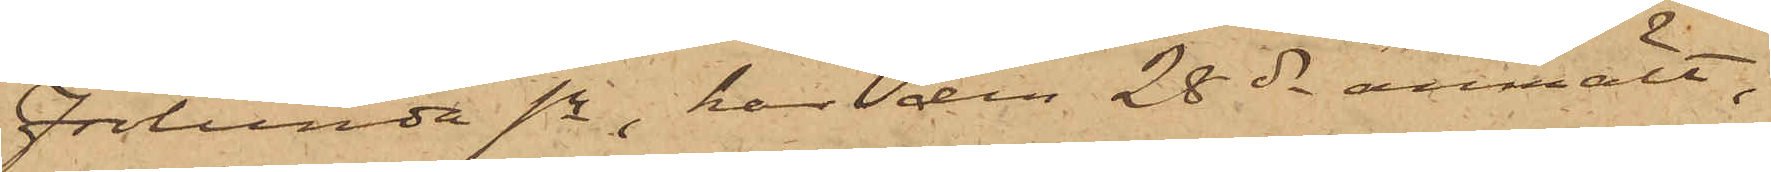Frölunda sn, har den 28 ds anmält,
